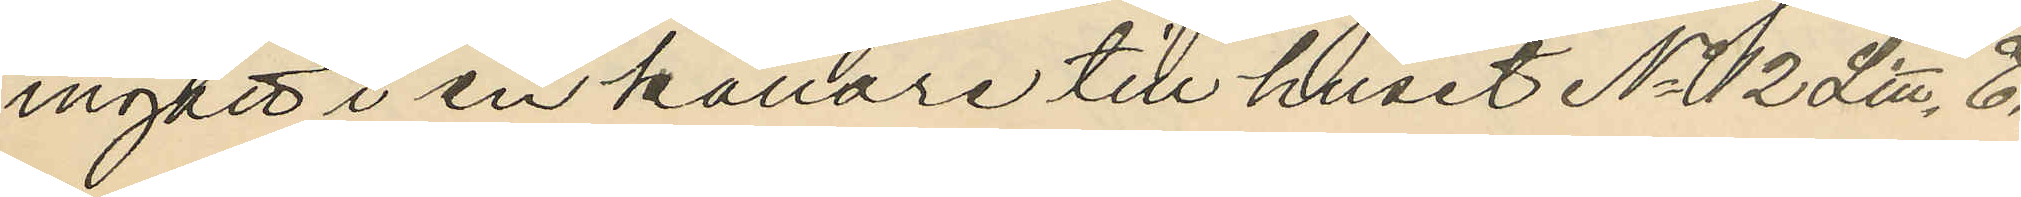ingått i en källare till huset No 12 Litt. E.
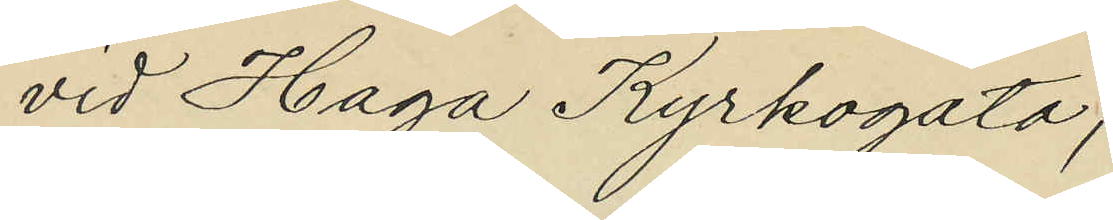vid Haga Kyrkogata;
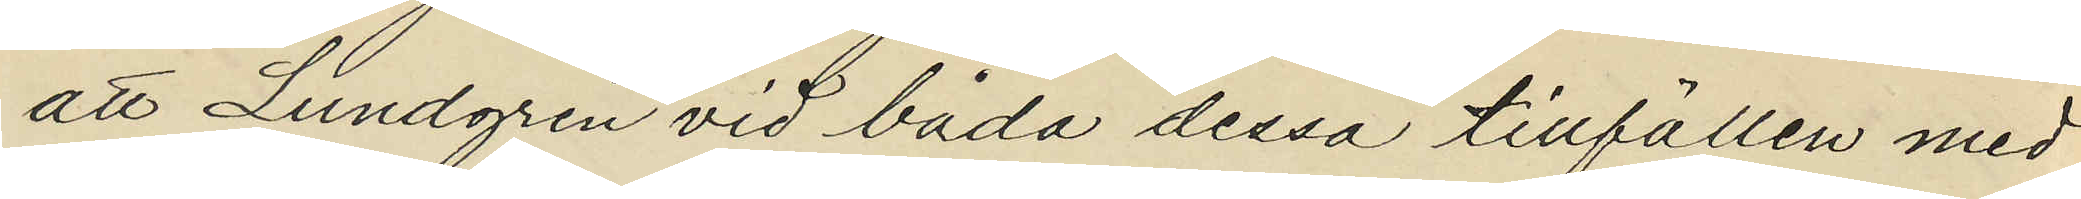att Lundgren vid båda dessa tillfällen med
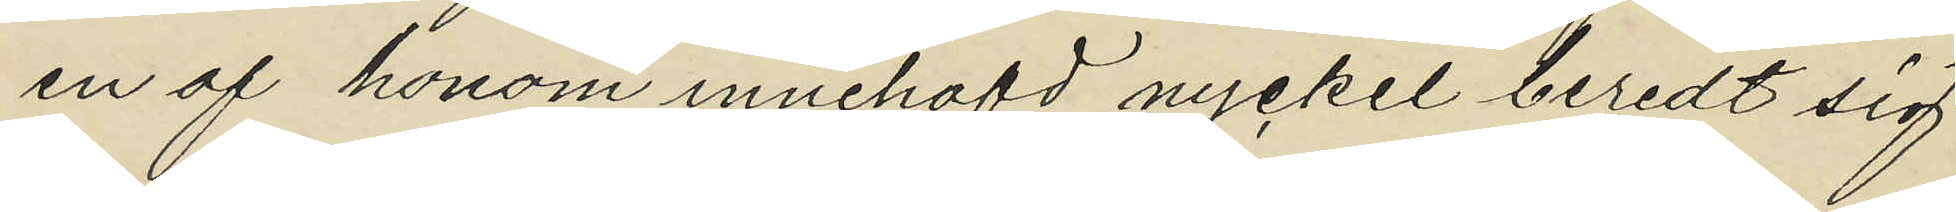en af honom innehafd nyckel beredt sig
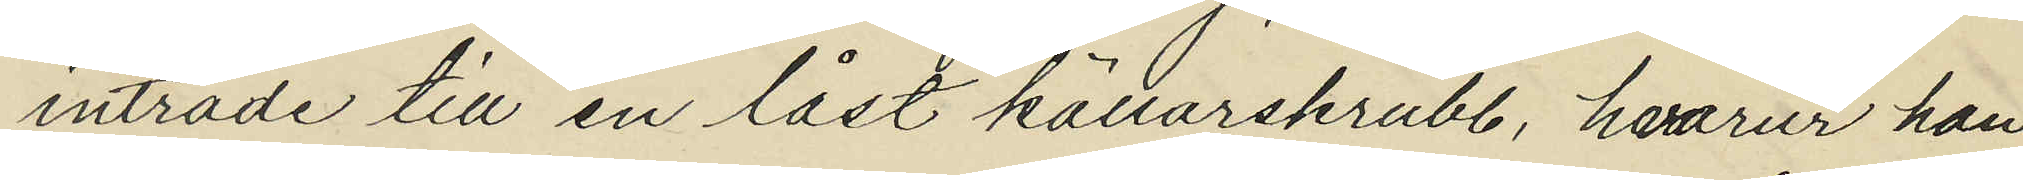inträde till en låst källarskrubb, hvarur han
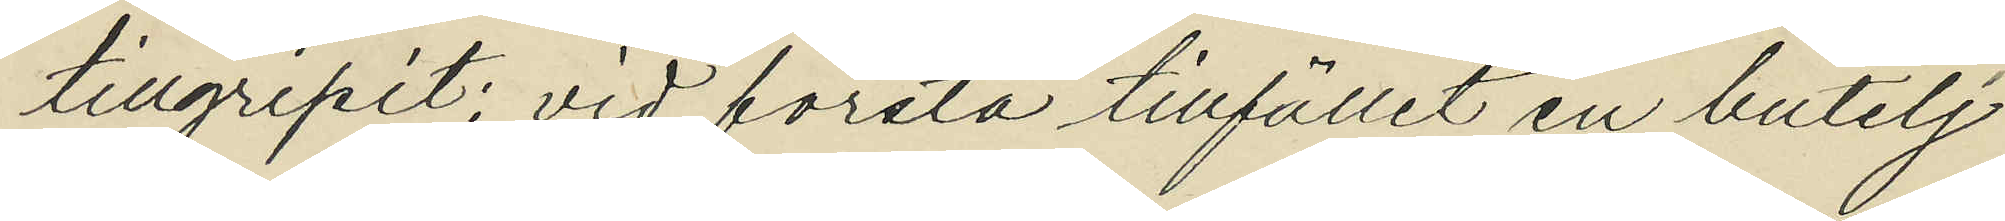tillgripit: vid första tillfället en butelj
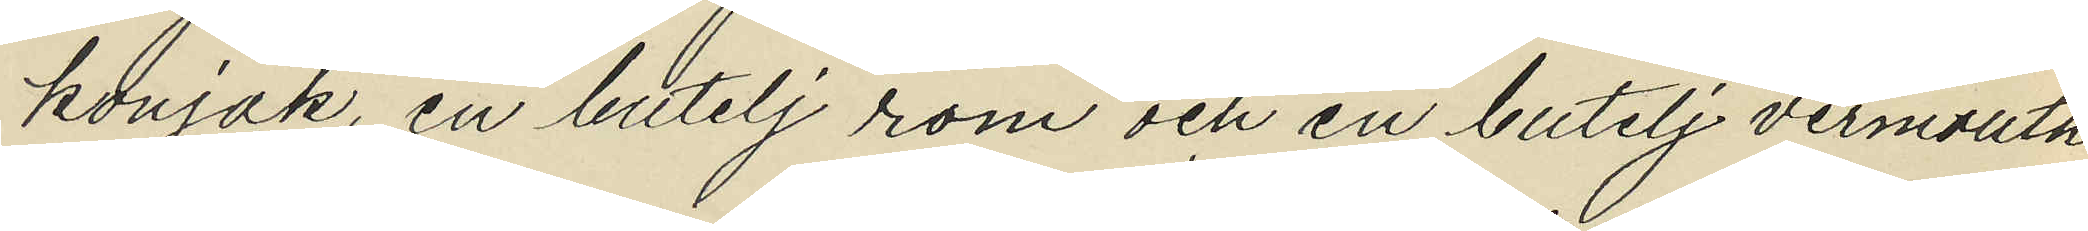konjak, en butelj rom och en butelj vermouth
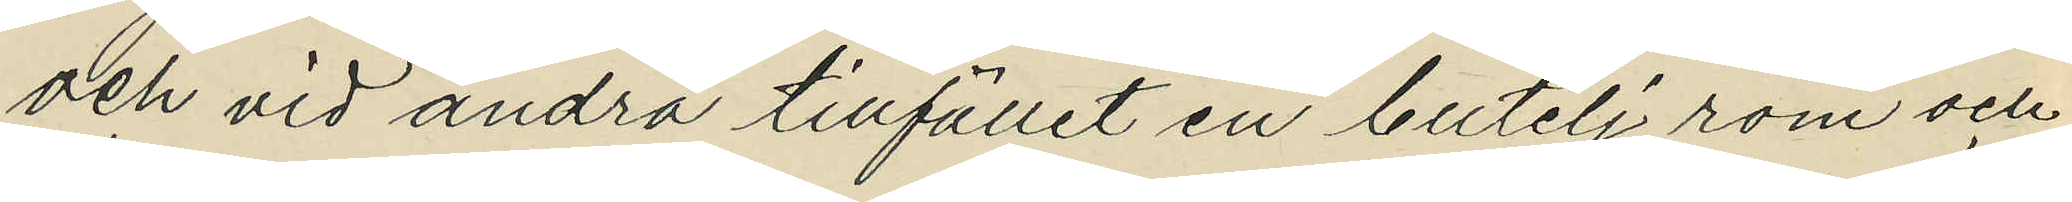och vid andra tillfället en butelj rom och
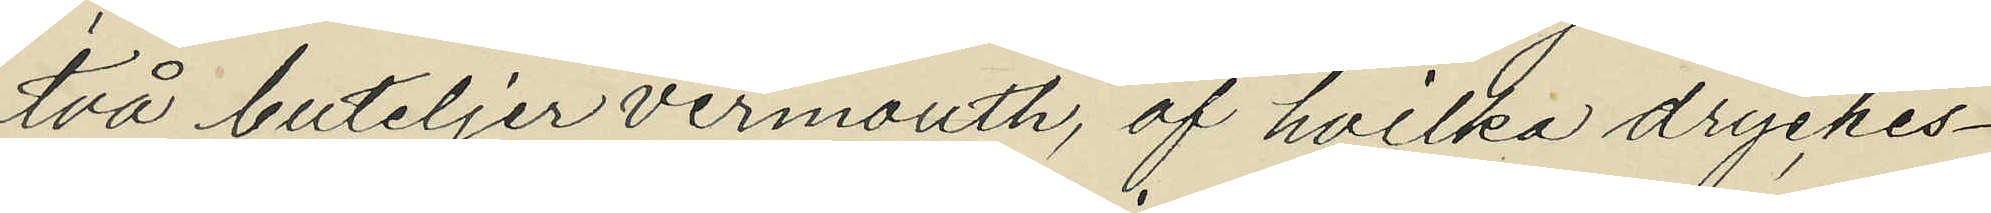två buteljer vermouth, af hvilka dryckes¬
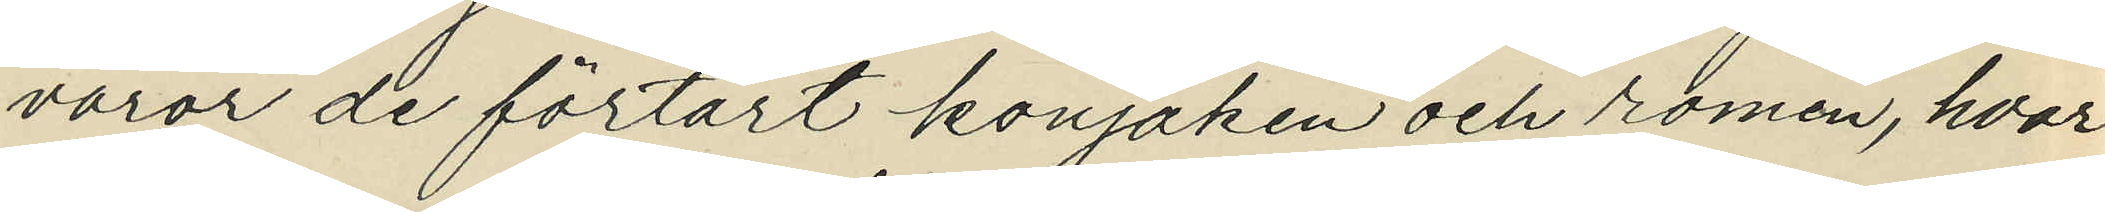varor de förtärt konjaken och romen, hvar¬
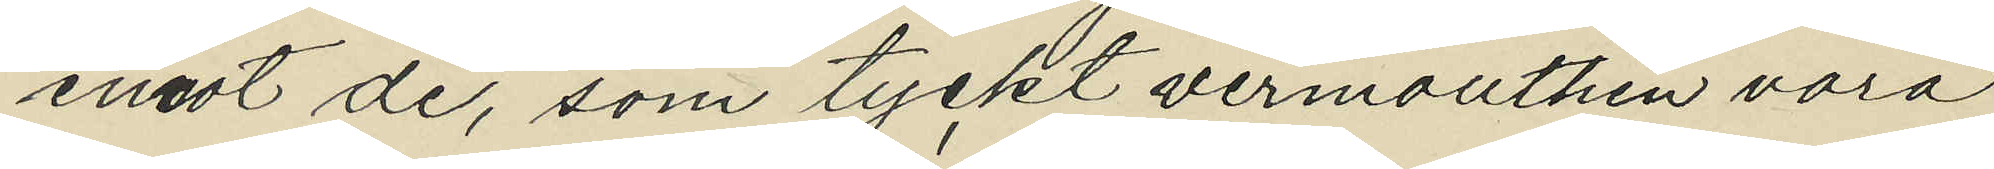emot de, som tyckt vermouthen vara
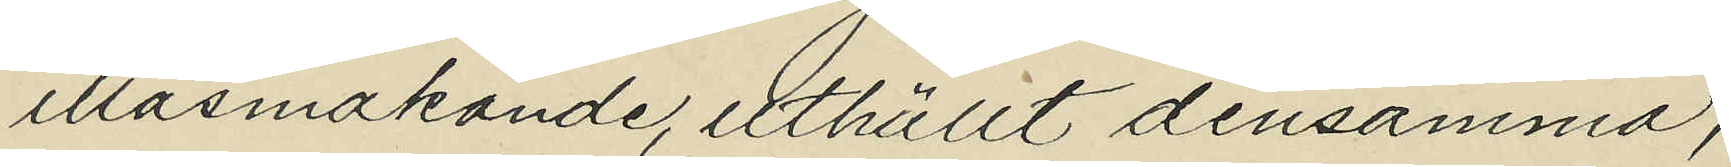illasmakande, uthällt densamma;
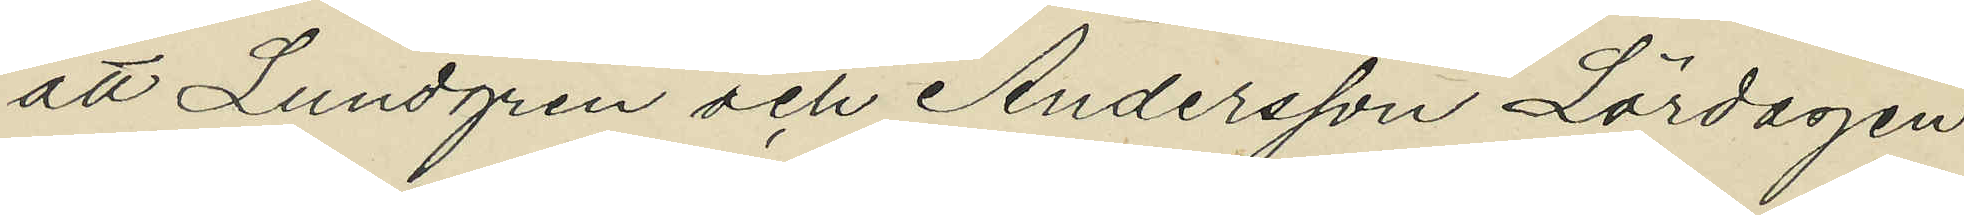att Lundgren och Andersson Lördagen
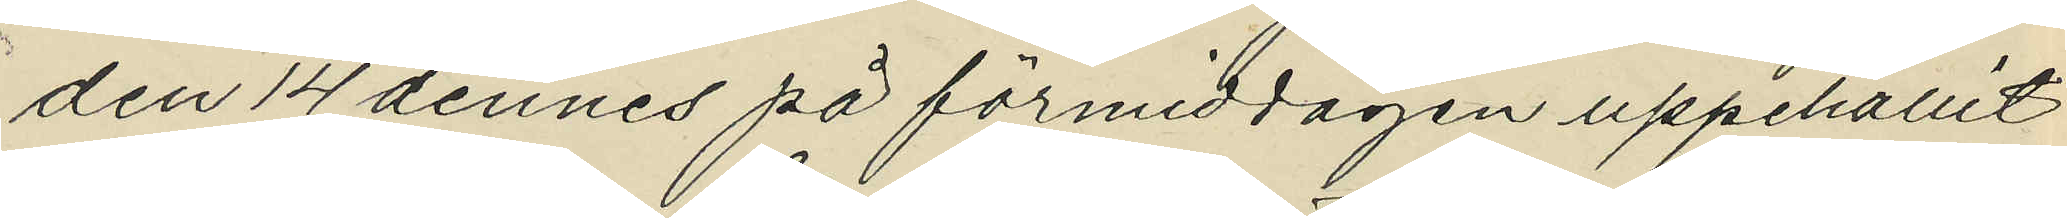den 14 dennes på förmiddagen uppehållit
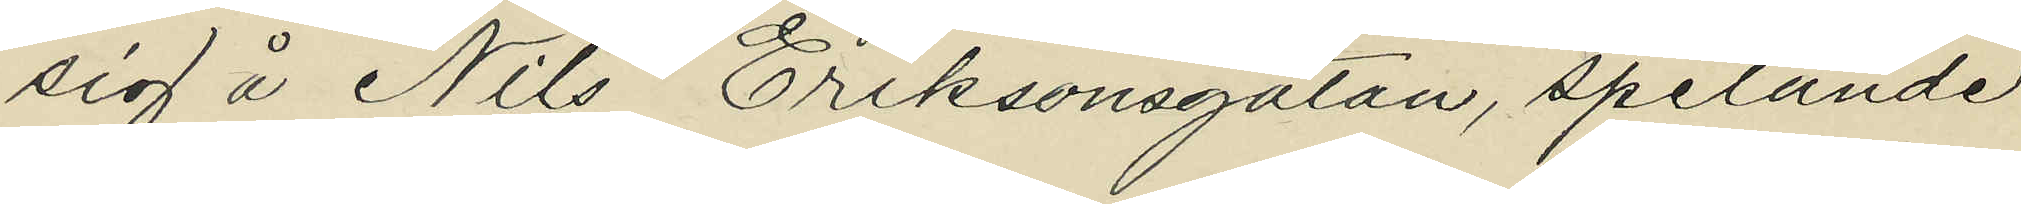sig å Nils Eriksonsgatan, spelande 
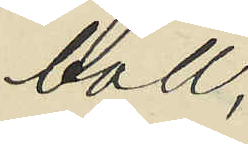boll;
